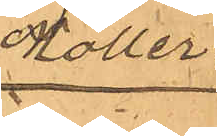Möller.
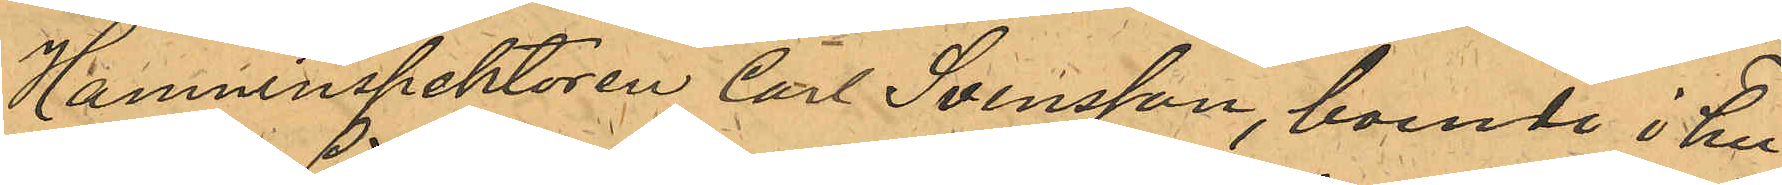Hamninspektören Carl Svensson, boende i hu¬
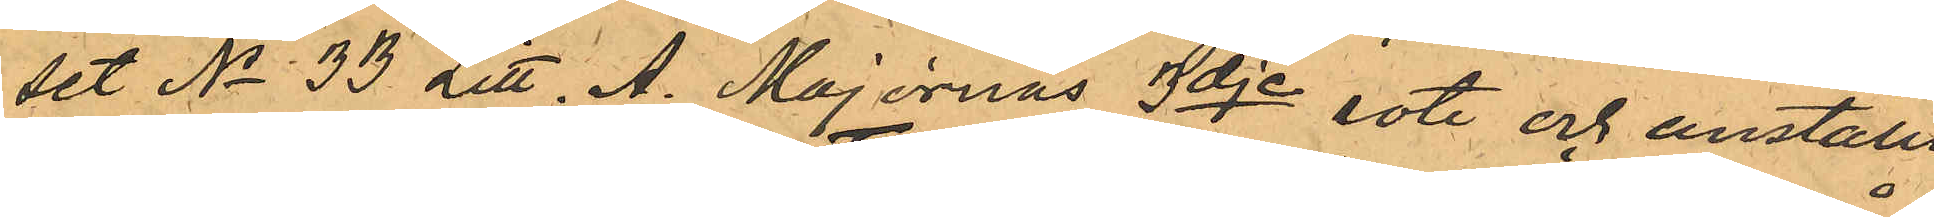set No 33 Litt. A. Majornas 3dje rote och anställd
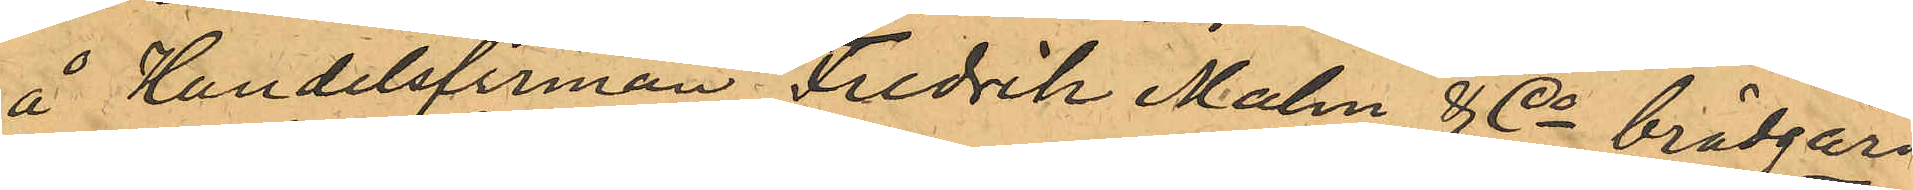å Handelsfirman Fredrik Malm & Co brädgård
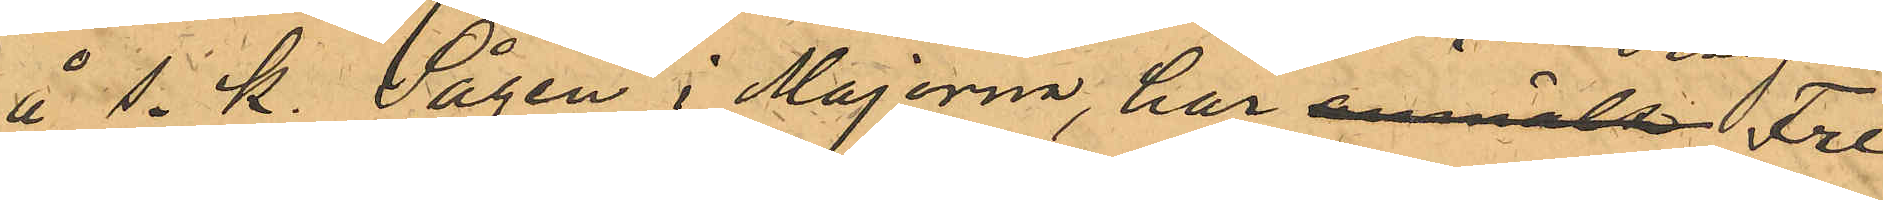å s. k. Sågen i Majorna har anmält Fre¬
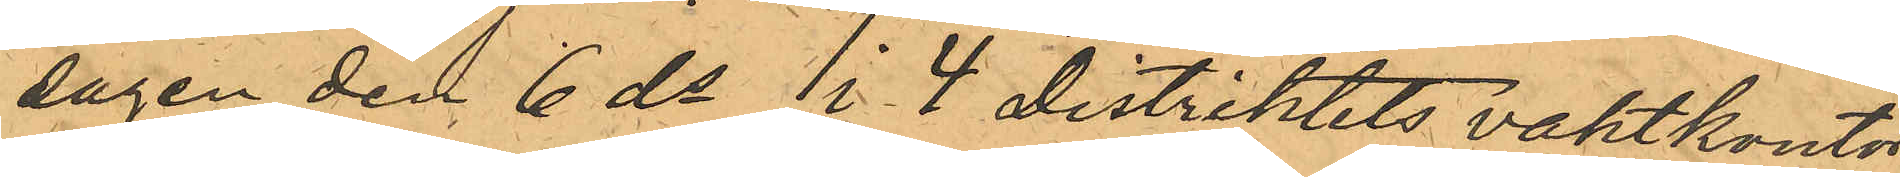dagen den 6 ds i 4 distriktets vaktkontor
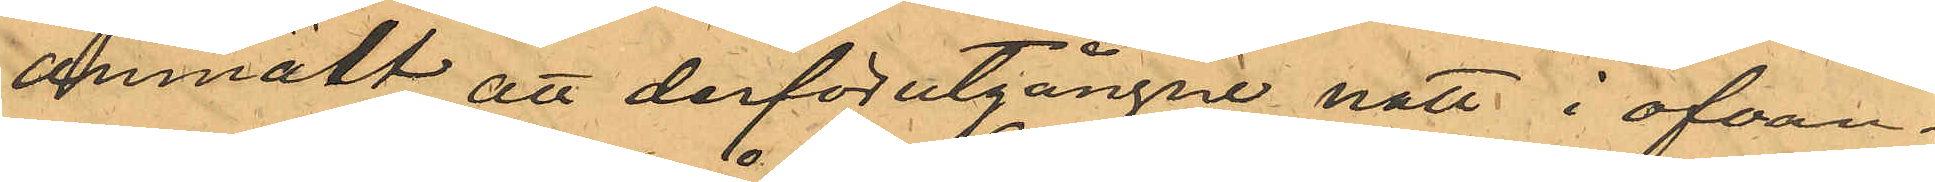anmält, att derförutgångne natt i ofvan¬
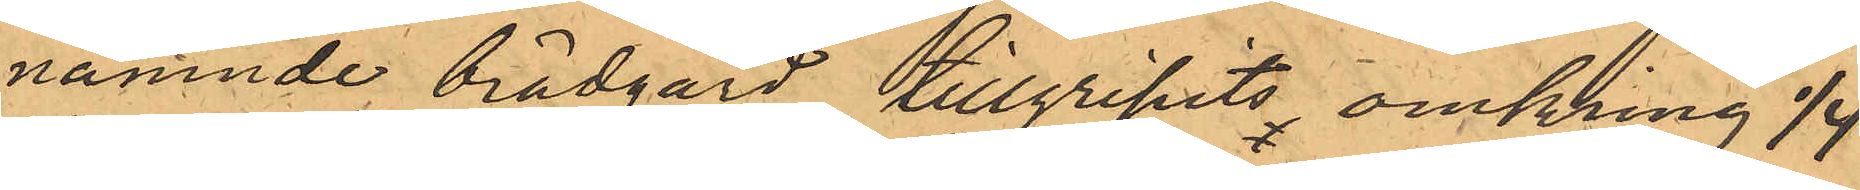nämnde brädgård tillgripits omkring 1/4
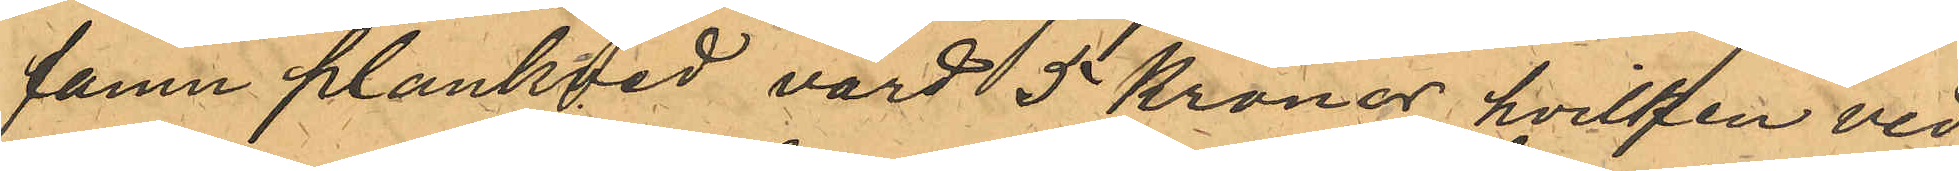famn plankved, värd 5 Kronor, hvilken ved
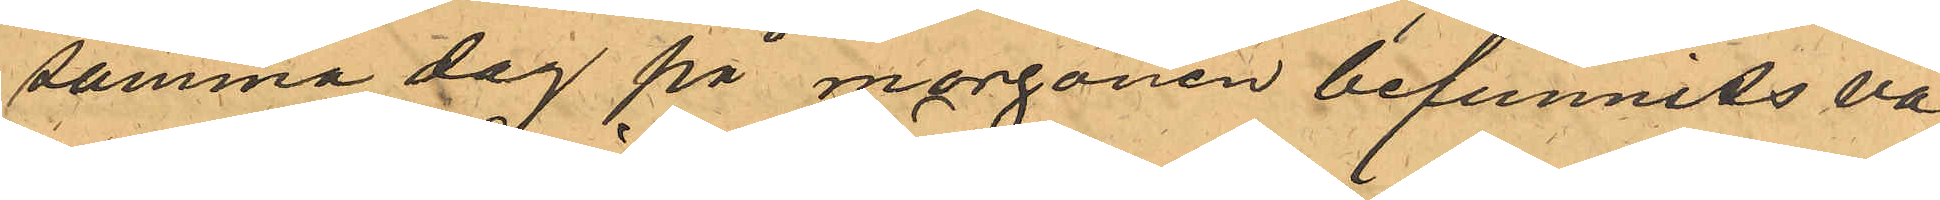samma dag på morgonen befunnits va¬
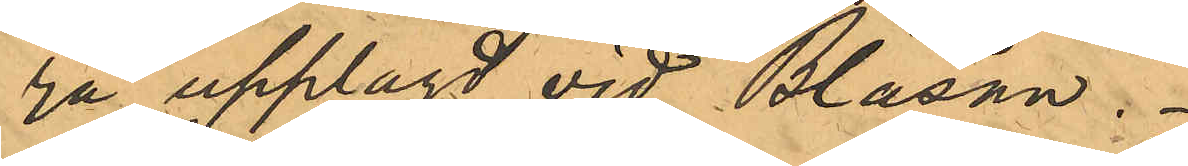ra upplagd vid Bläsan.
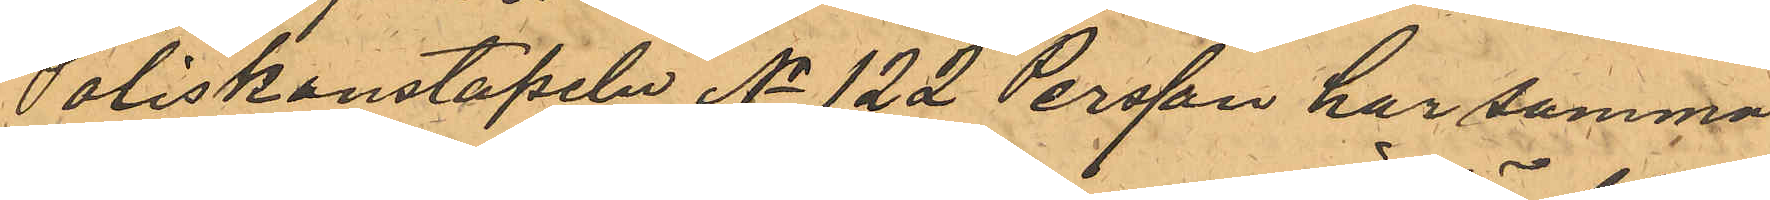Poliskonstapeln No 122 Persson har samma
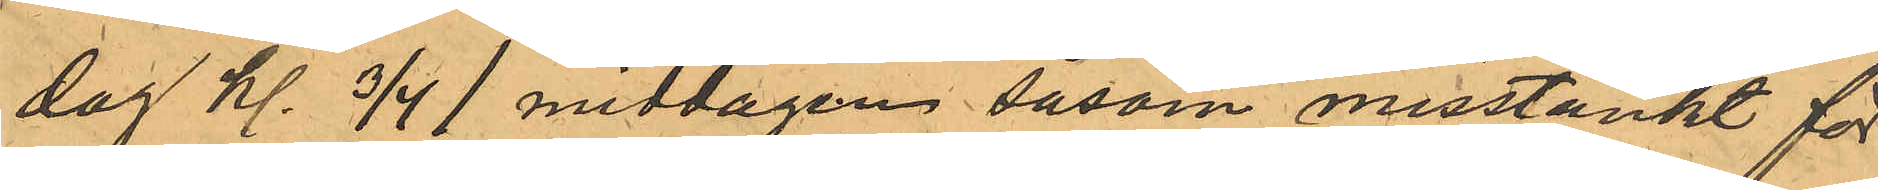dag kl. 3/4 1 middagen såsom misstänkt för¬
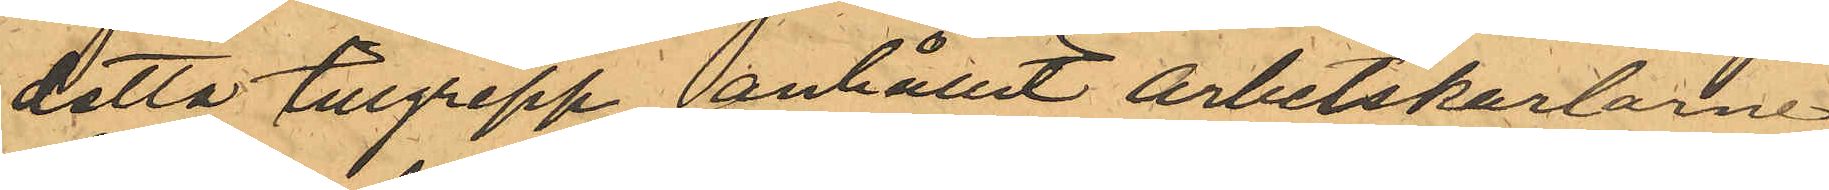detta tillgrepp anhållit arbetskarlarne
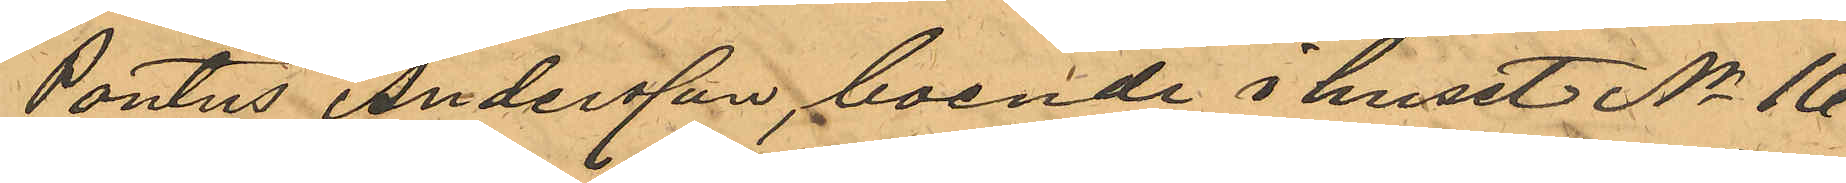Pontus Andersson, boende i huset No 16
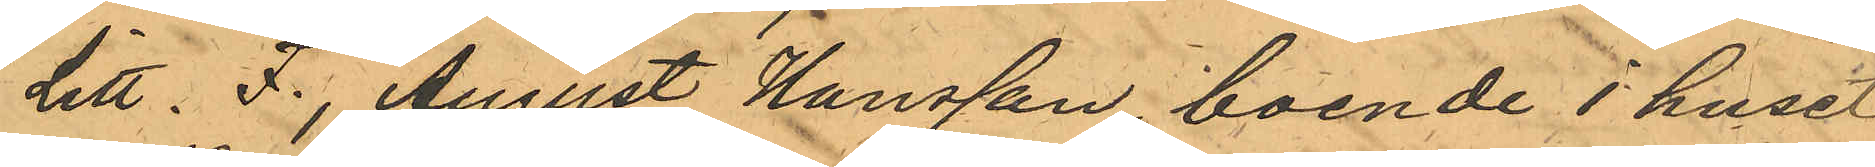Litt. F., August Hansson, boende i huset
